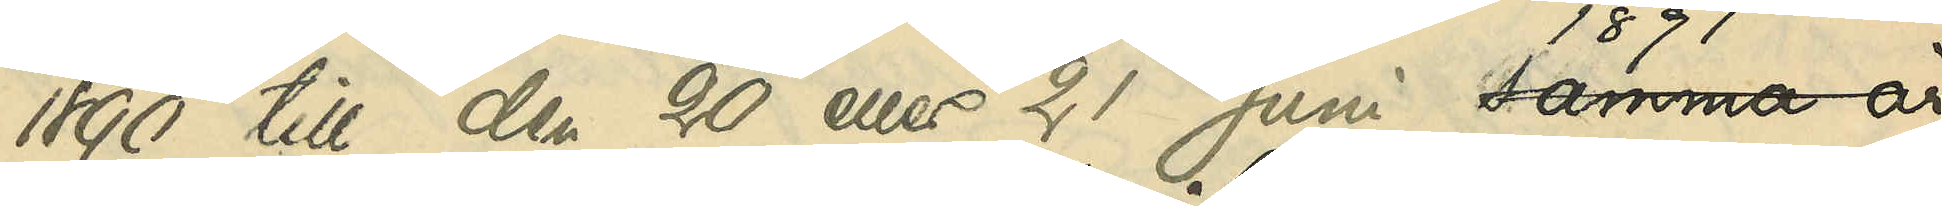1890 till den 20 eller 21 Juni 1891,
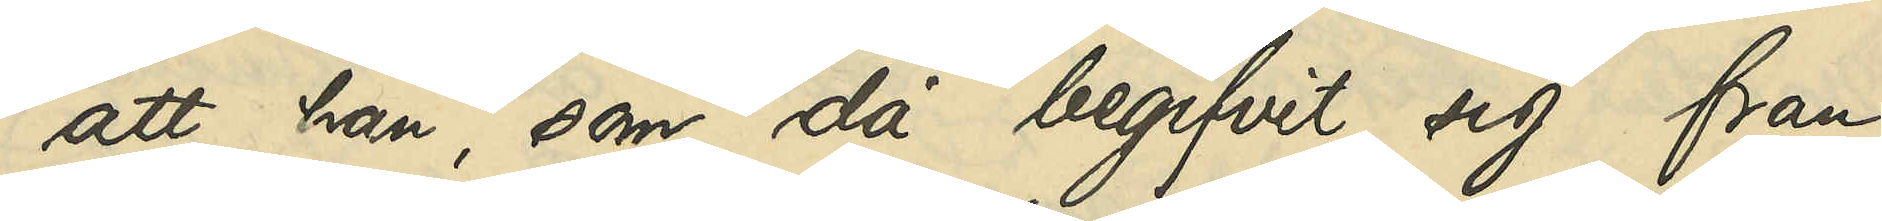att han, som då begifvit sig från
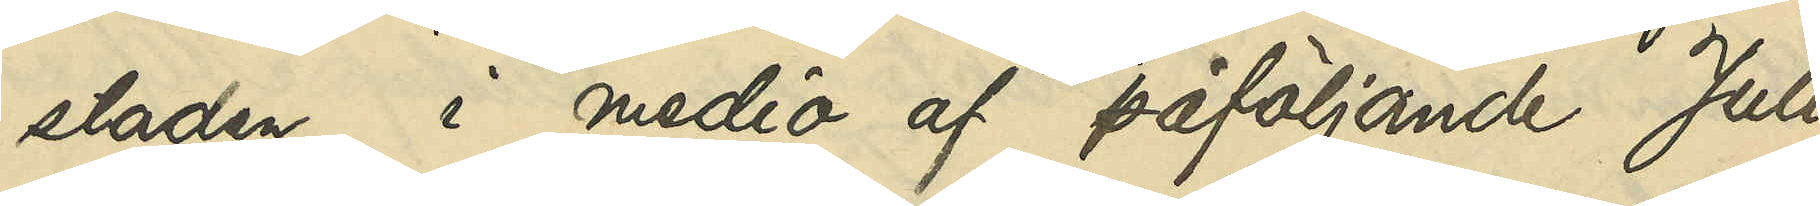staden, i medio af påföljande Juli
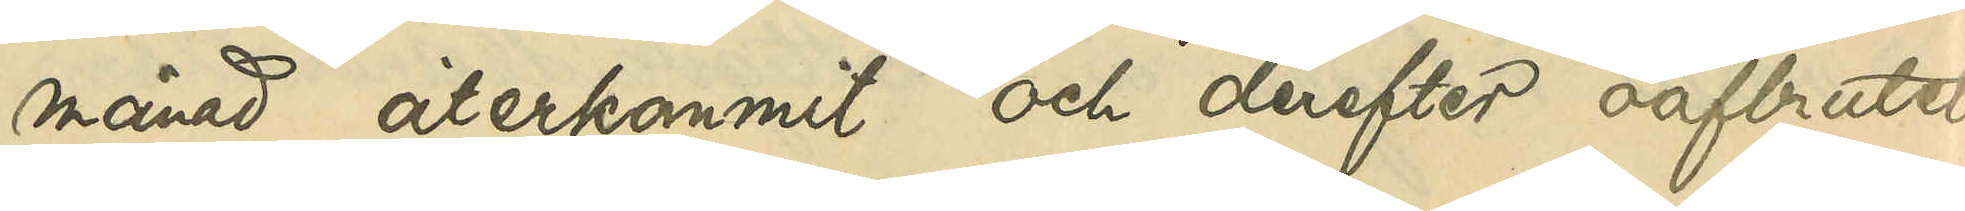månad återkommit och derefter oafbrutet
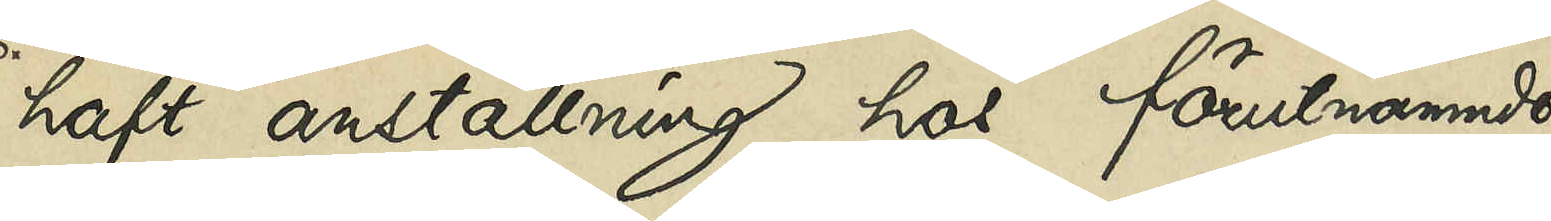haft anställning hos förutnämnde
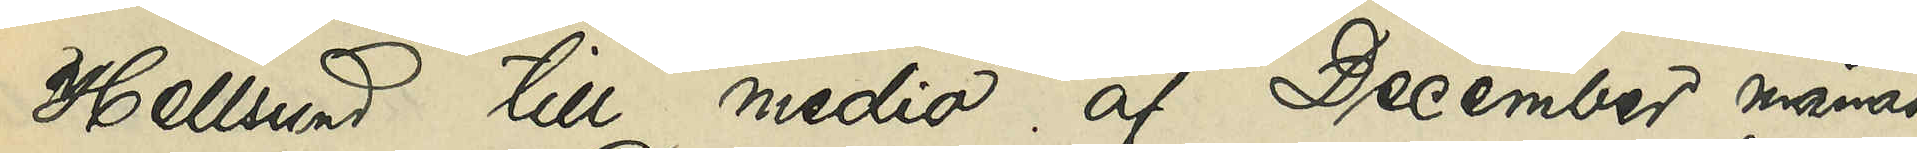Hellsund till medio af December månad
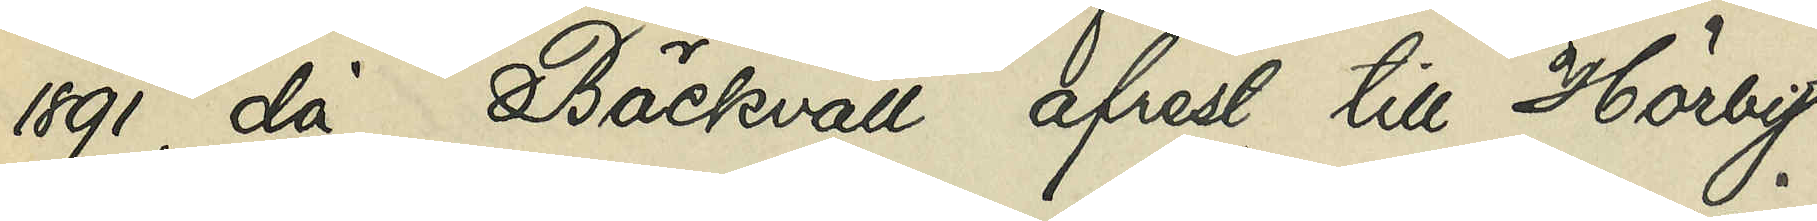1891, då Bäckvall afrest till Hörby
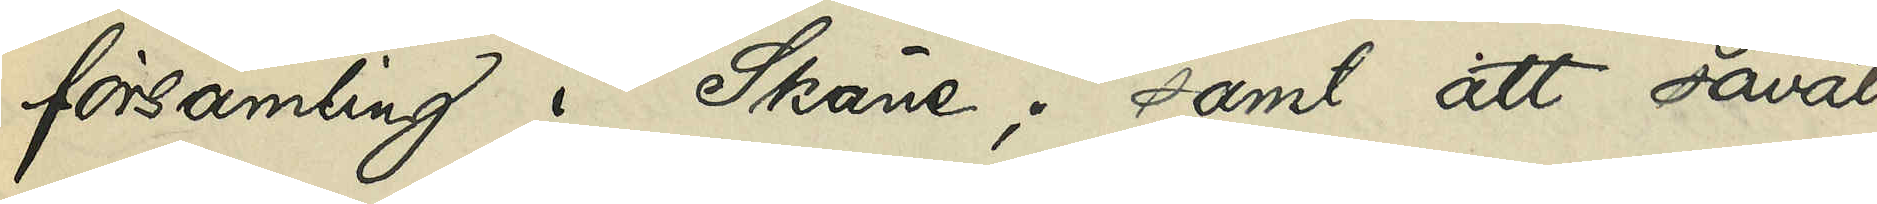församling i Skåne; samt att såväl
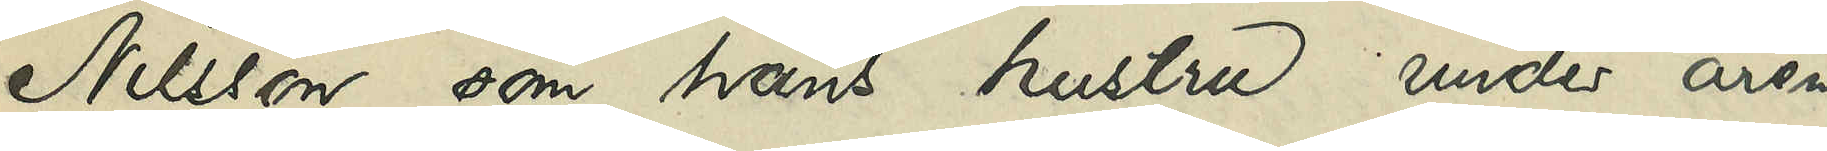Nilsson som hans hustru under åren
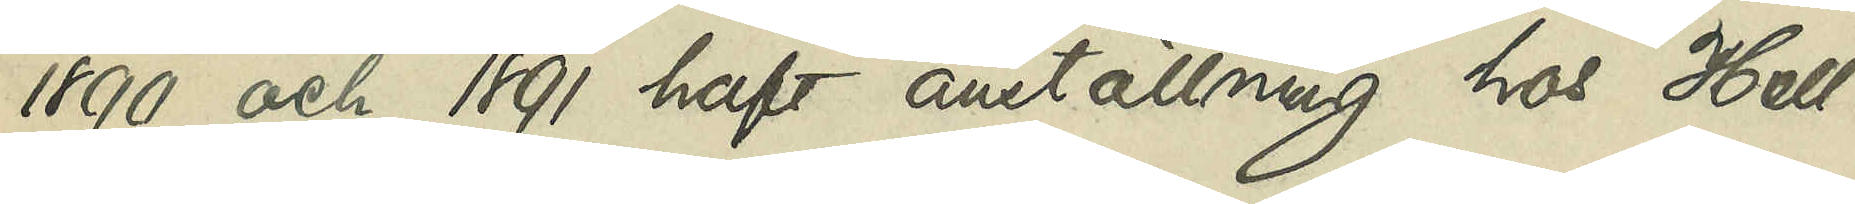1890 och 1891 haft anställning hos Hell¬
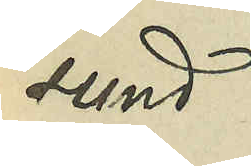sund.
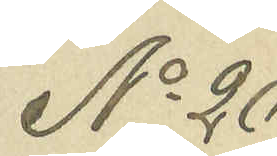No 20
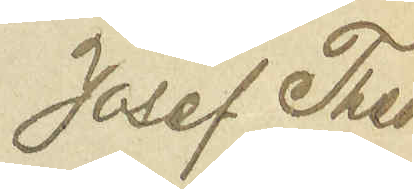Josef Theo¬
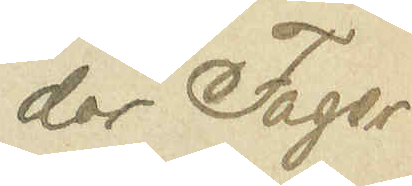dor Fager¬
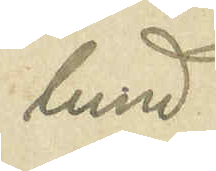lund
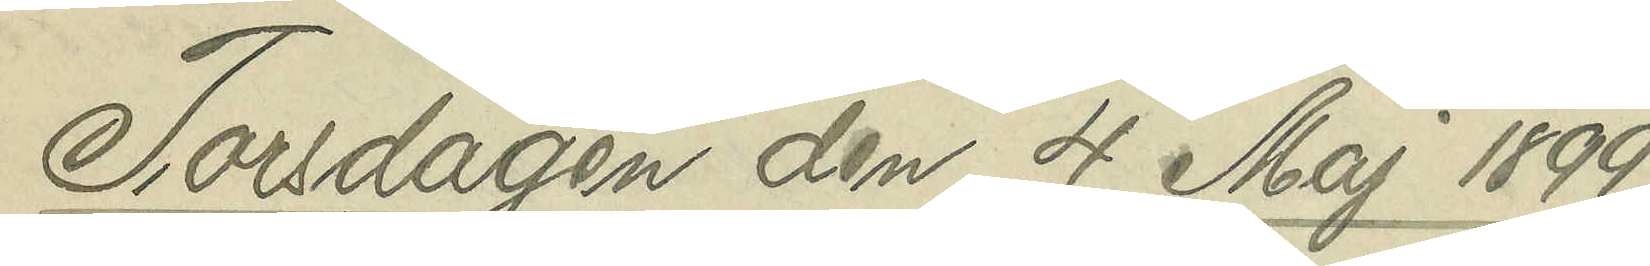Torsdagen den 4 Maj 1899
